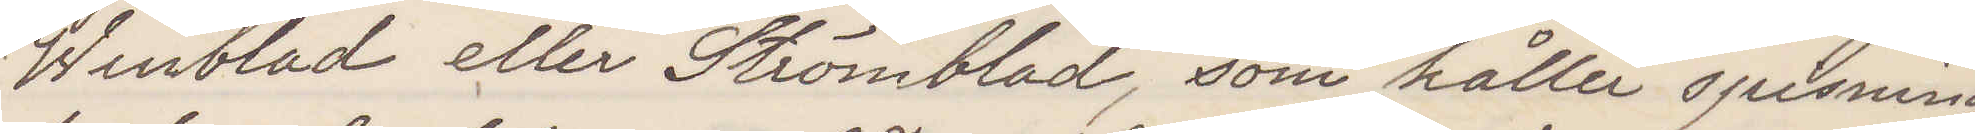Winblad eller Strömblad, som håller spisning
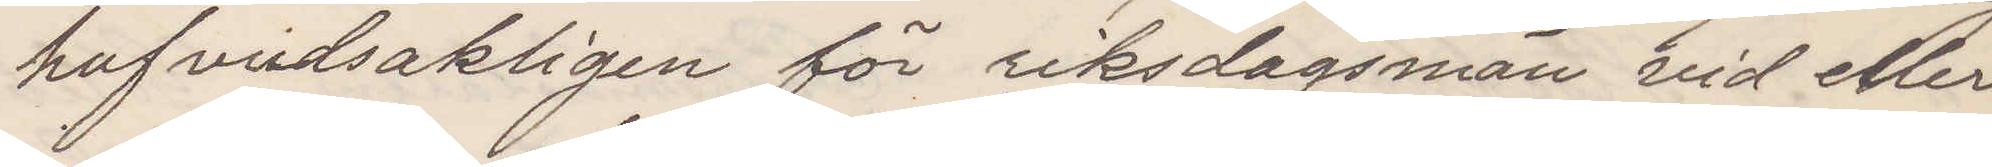hufuvdsakligen för riksdagsmän vid eller
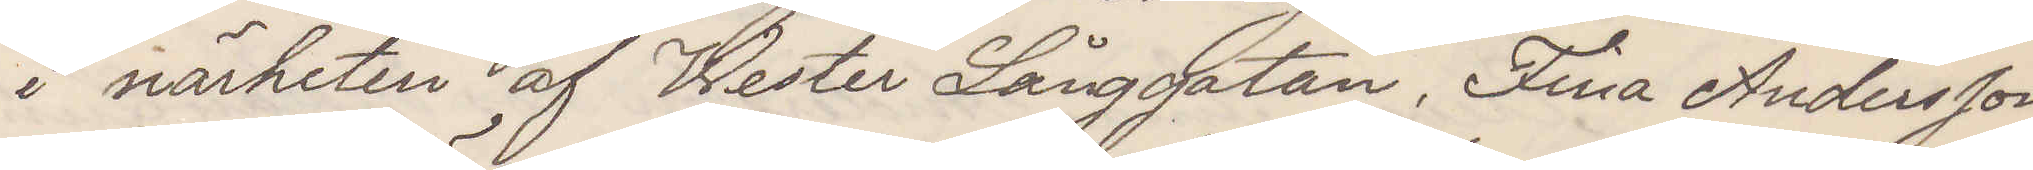i närheten af Wester Långgatan. Fina Andersson
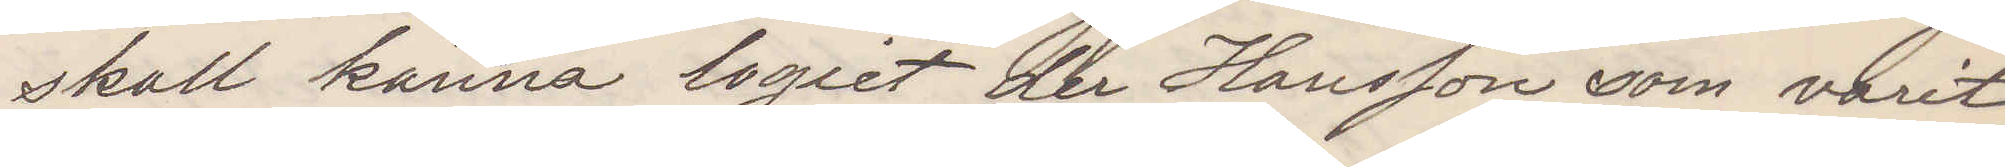skall känna logiet der Hanssonsom varit
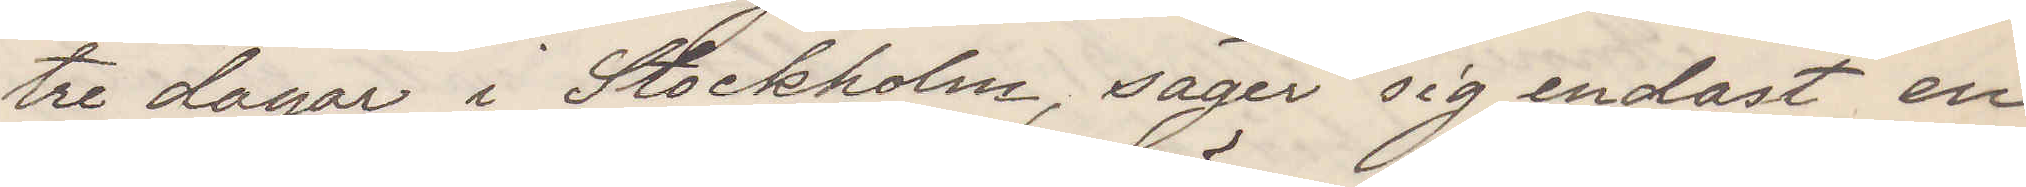tre dagar i Stockholm, säger sig endast en
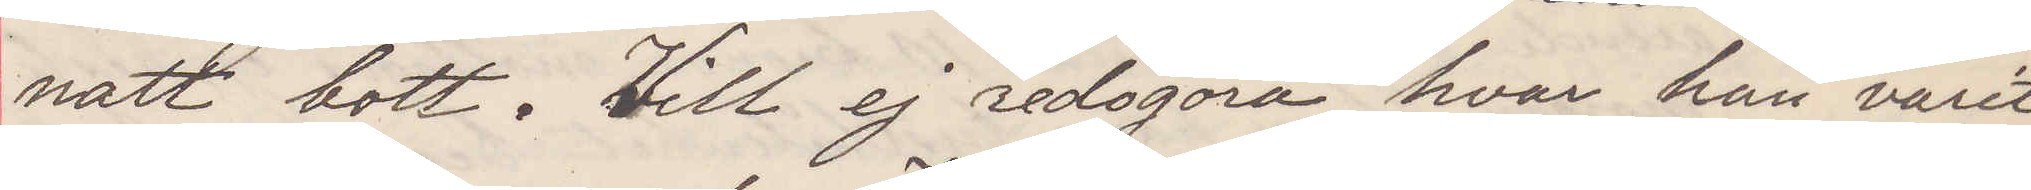natt bott Vill ej redogöra hvar han varit
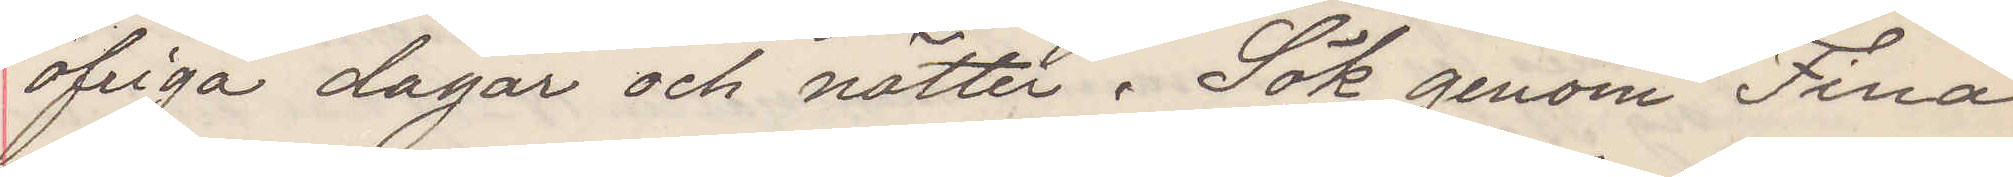öfriga dagar och nätter. Sök genom Fina
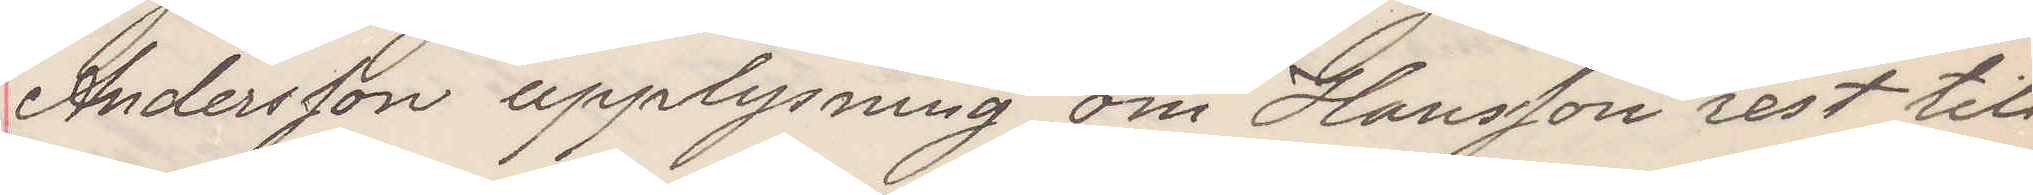Andersson upplysning om Hansson rest till
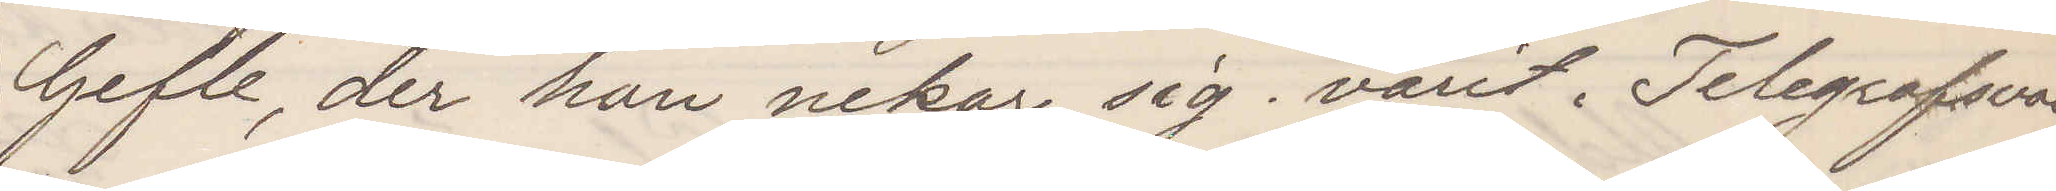Gefle der han nekar sig varit. Telegrafsvar
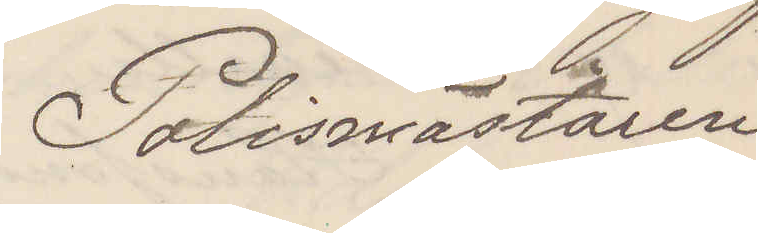Polismästaren
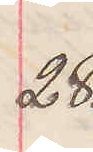28.
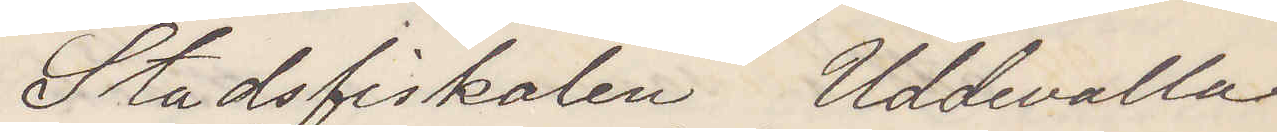Stadsfiskalen Uddevalla
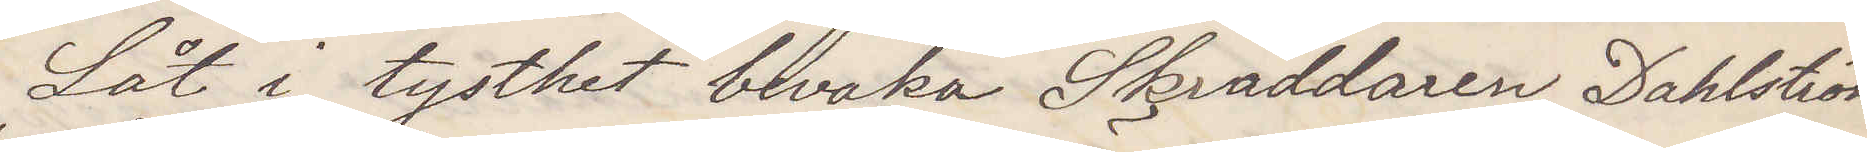Låt i tysthet bevaka Skräddaren Dahlström
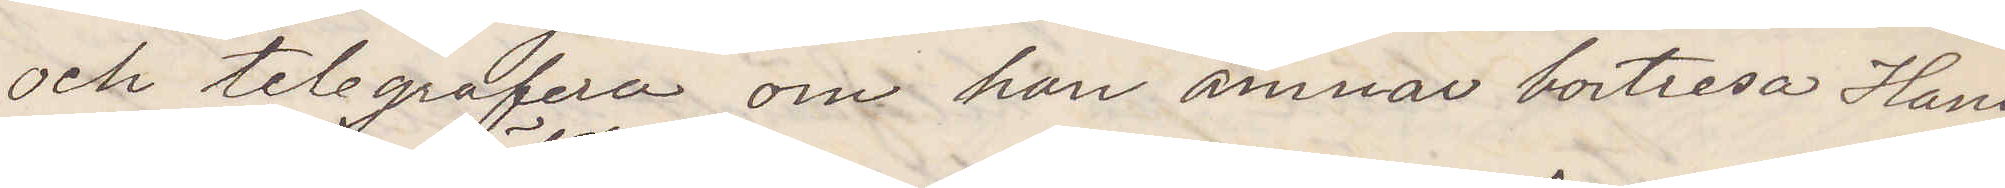och telegrafera om han ämnar bortresa Hans¬
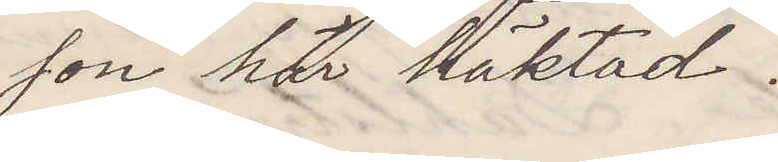son här häktad.
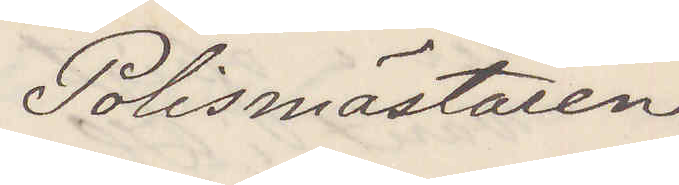Polismästaren
